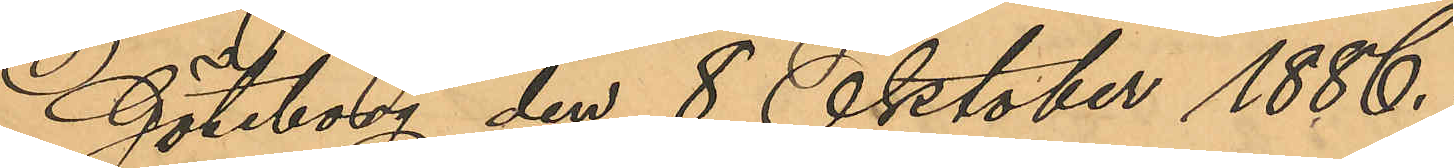Göteborg den 8 Oktober 1886.
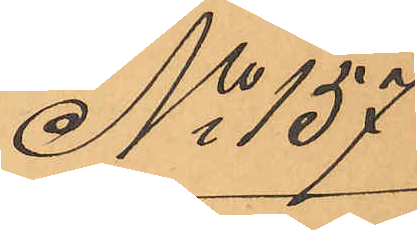No 137
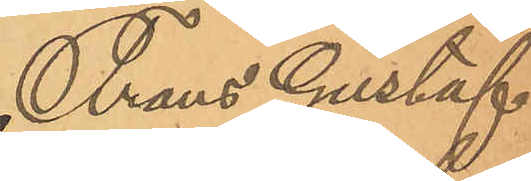Frans Gustaf
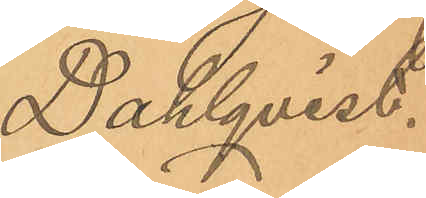Dahlqvist.
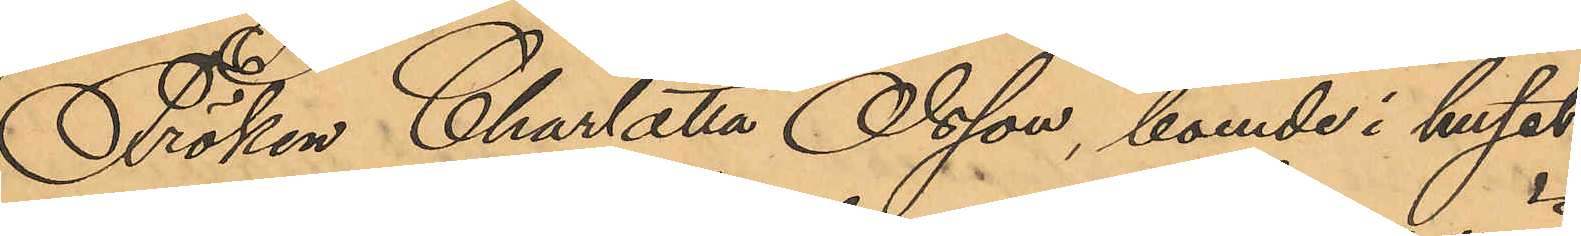Fröken Charlotta Olsson, boende i huset
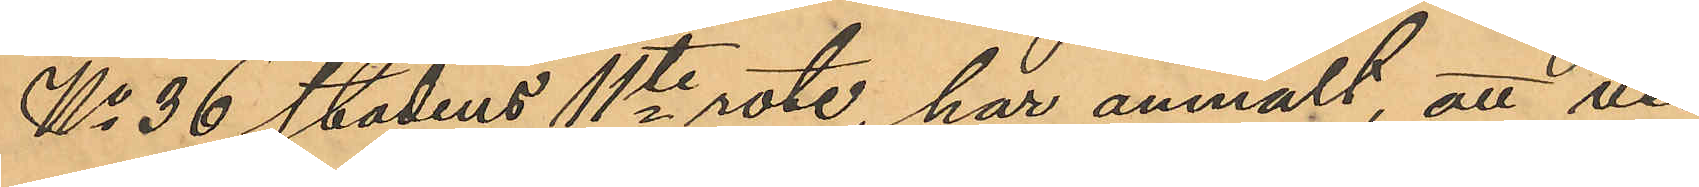No 36 stadens 11te rote, har anmält, att vid
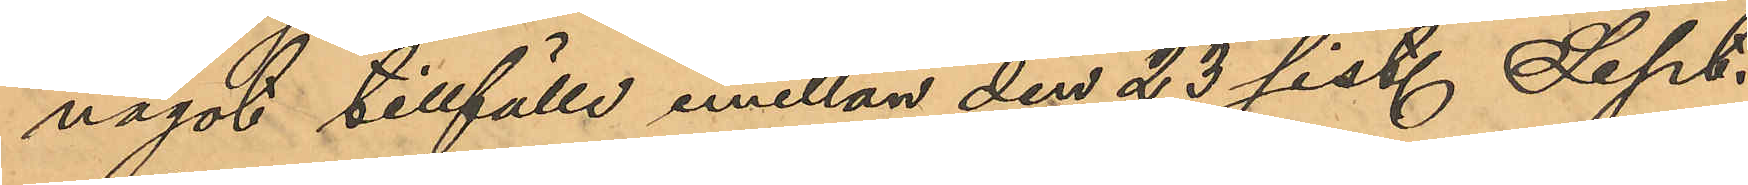något tillfälle emellan den 23 sist. Sept.
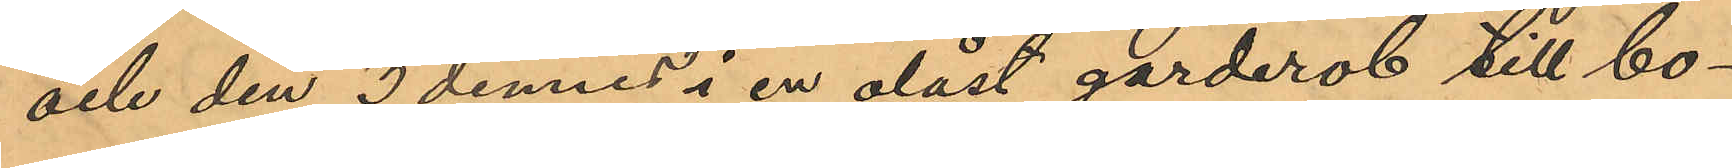och den 3 dennes i en olåst garderob till bo¬
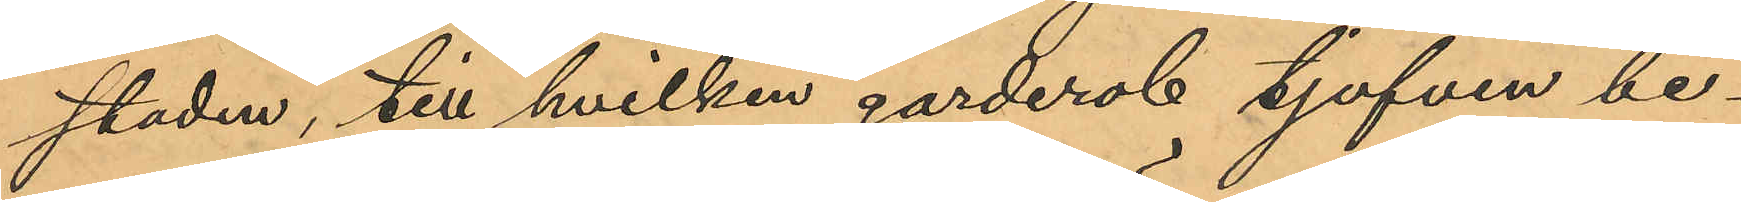staden, till hvilken garderob tjufven be¬
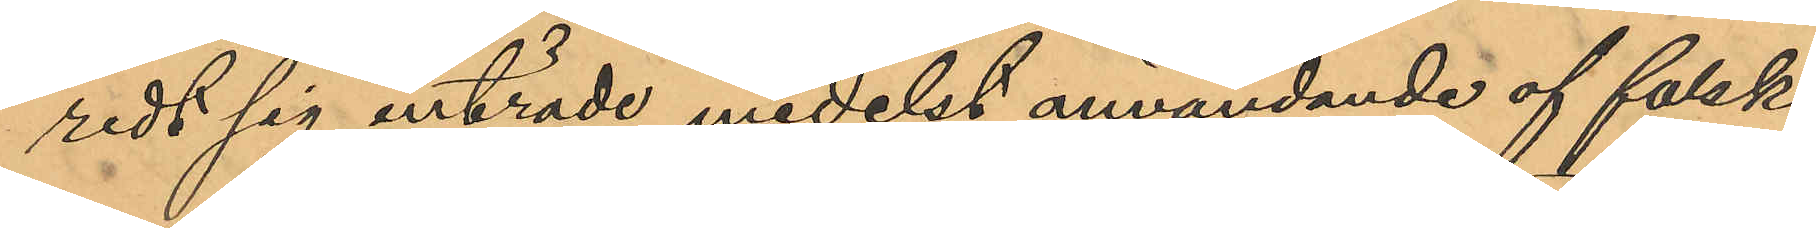redt sig inträde medelst användande af falsk
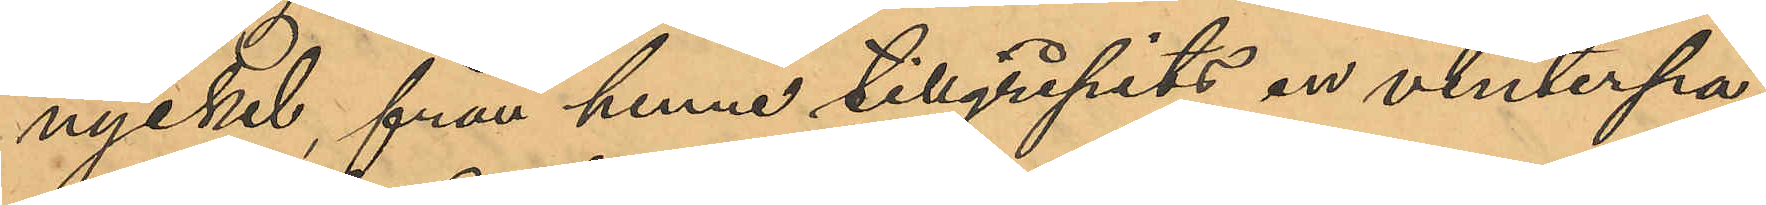nyckel, från henne tillgripits en vinterpa¬
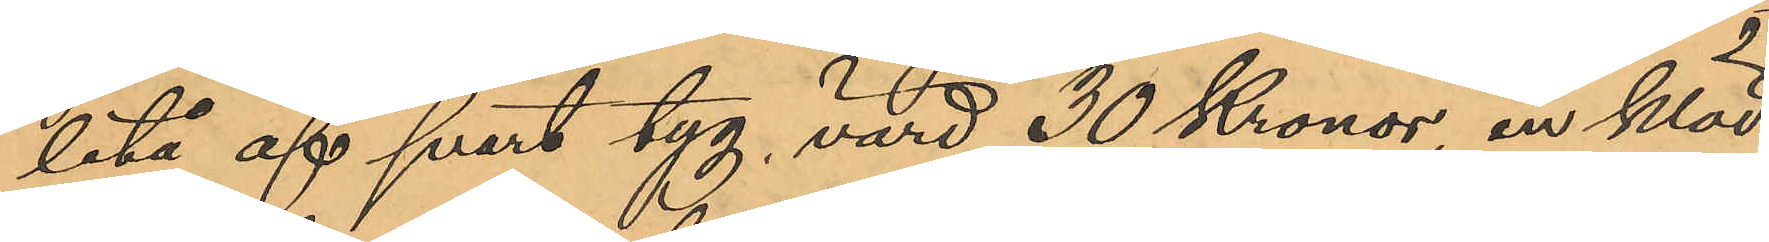letå af svart tyg, värd 30 Kronor, en kläd¬
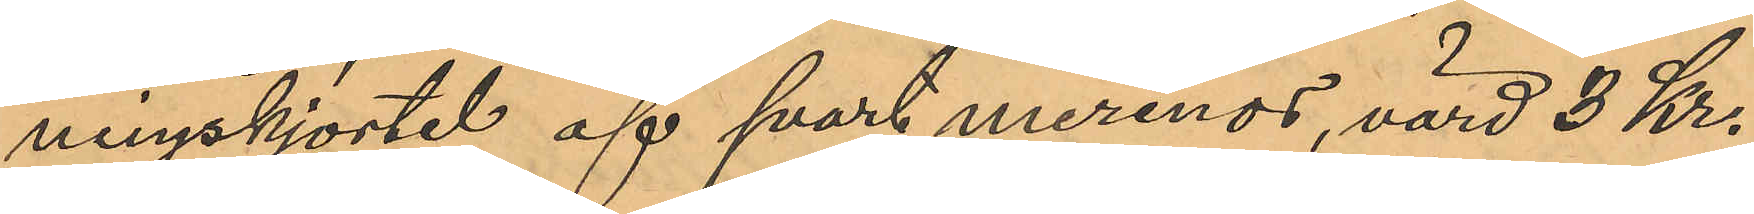ningskjortel af svart merinos, värd 3 Kr.
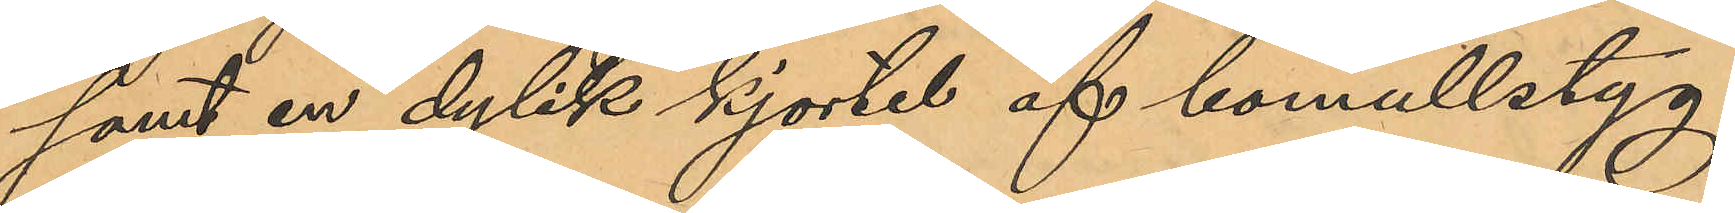samt en dylik kjortel af bomullstyg,
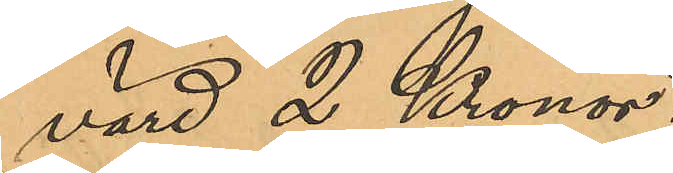värd 2 Kronor.
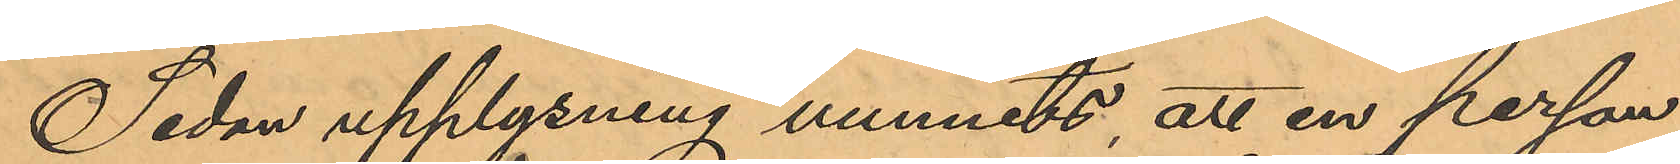Sedan upplysning vunnits att en person
